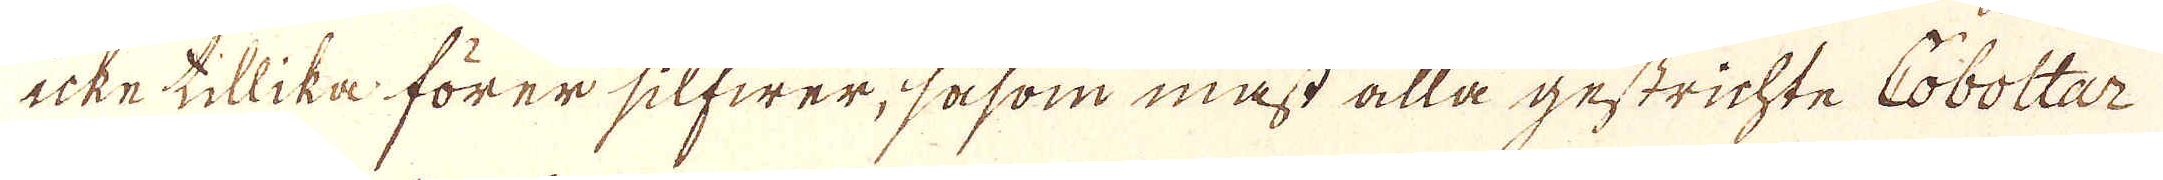icke tillika förer silfwer, såsom mäst alla gestrichte Coboltar
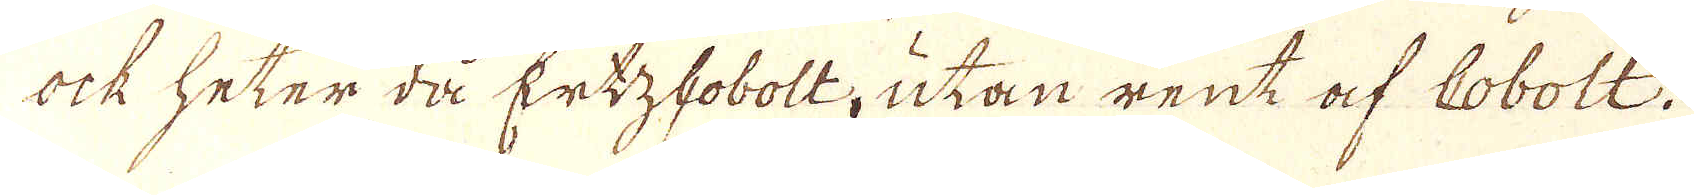ock heter då Ertzhobolt, utan rent af Cobolt.
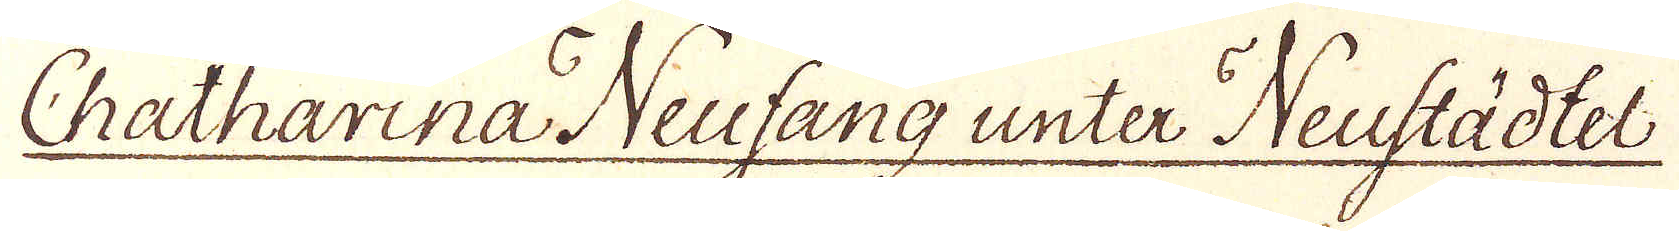Chatharina Neufang unter Neustädtel
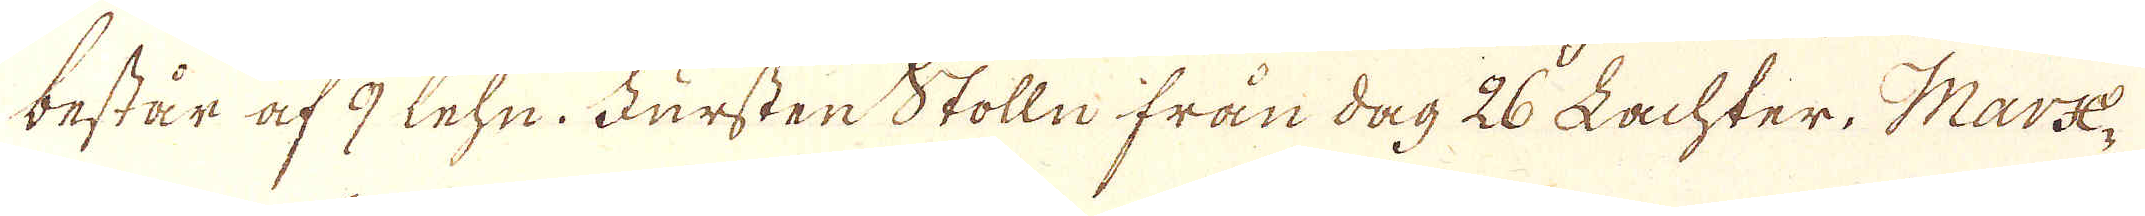består af 9 lehn. Fursten Stolln från dag 26 Lachter. Marx-
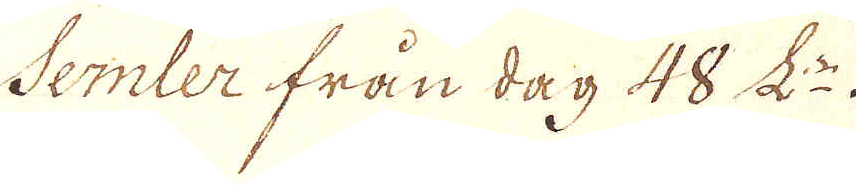Semler från dag 48 L:r.
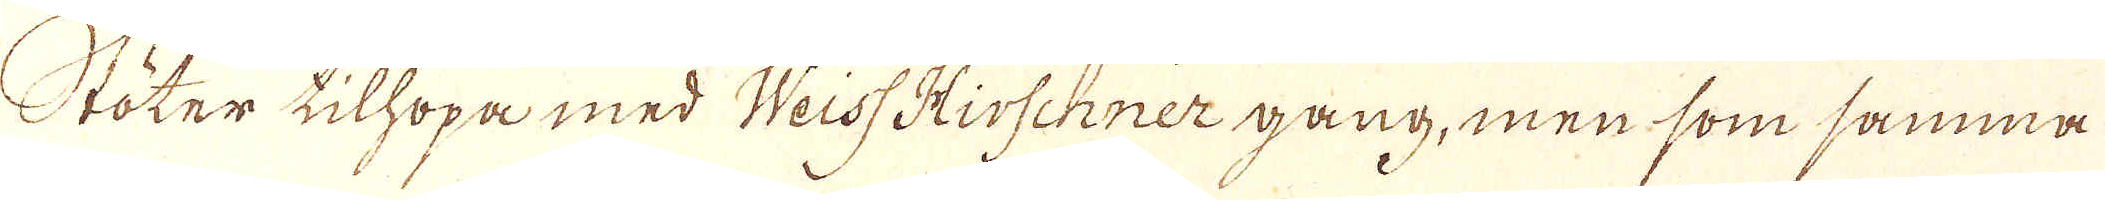Stöter tilhopa med Weiss Hirschner gang, men som samma
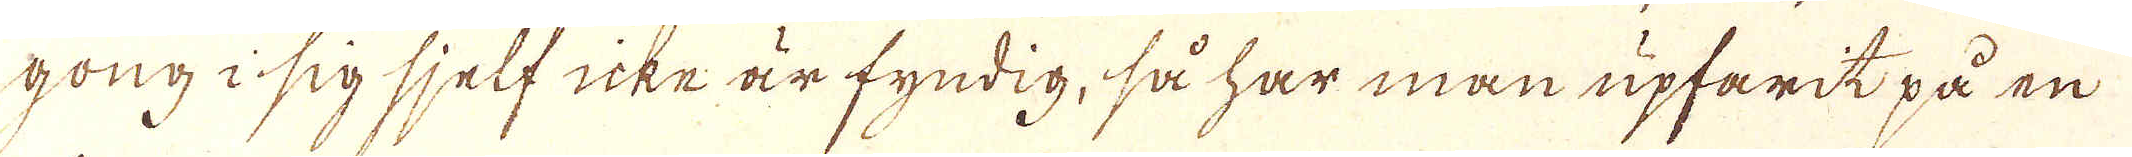gong i sig sjelf icke är fyndig, så har man upfarit på en
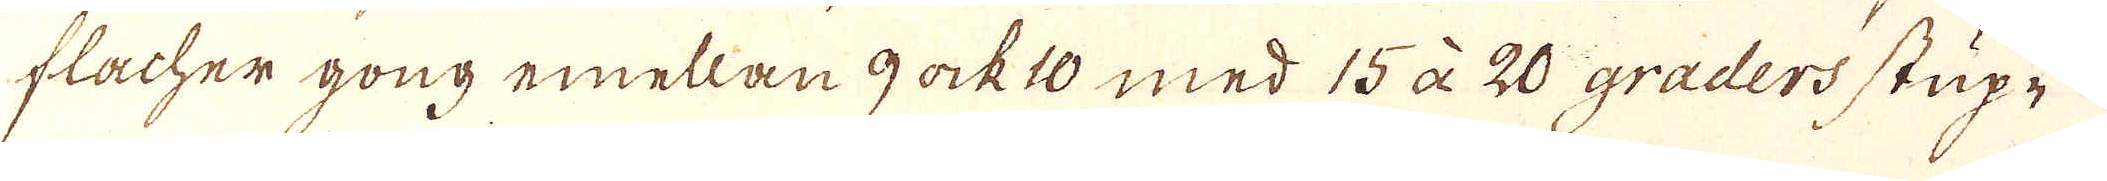flacher gong emellan 9 ock 10 med 15 à 20 graders stup-
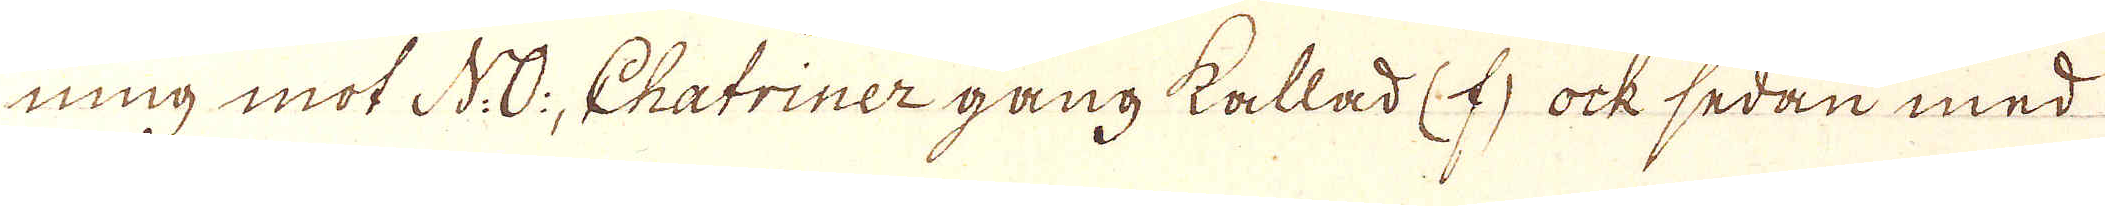ning mot N:O:, Chatriner gang kallad (f), ock sedan med
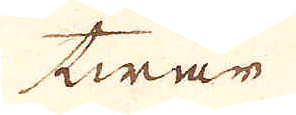twär
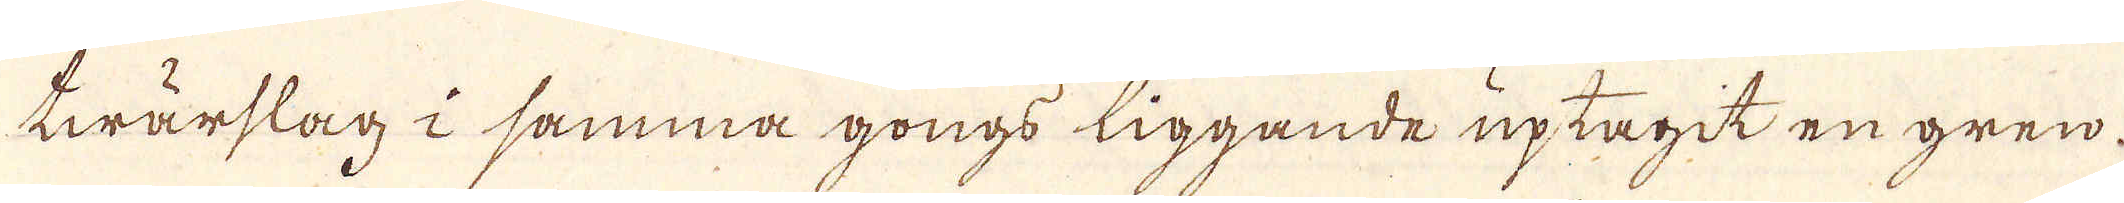twärslag i samma gongs liggande uptagit en gren.
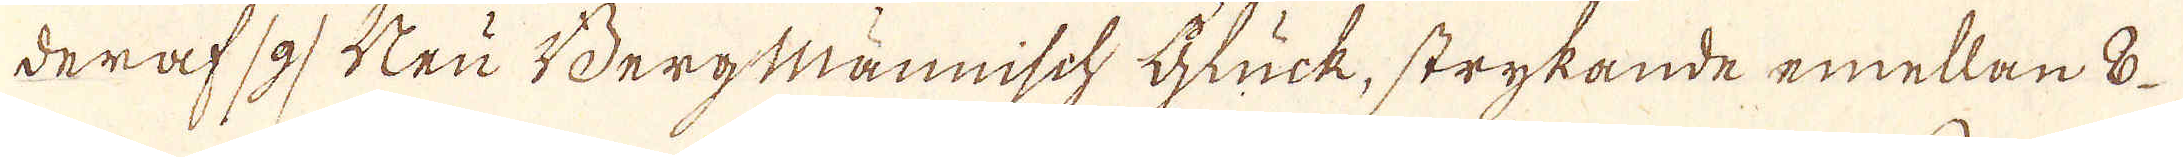deraf /g/ Neu Bergmännisch Glück, strykande emellan 8
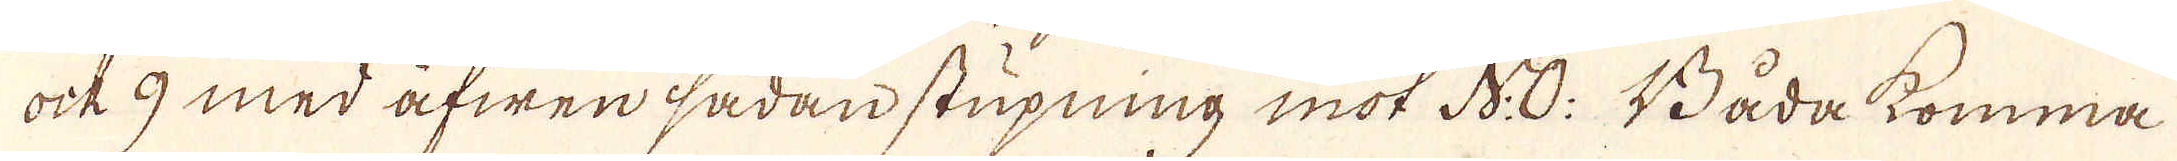ock 9 med äfwen sådan stupning mot N:O: Båda komma
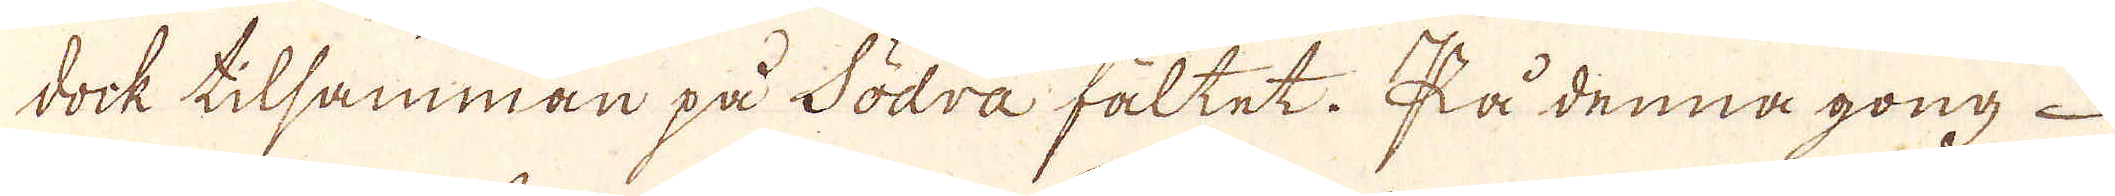dock tilsamman på Södra fältet. På denna gong
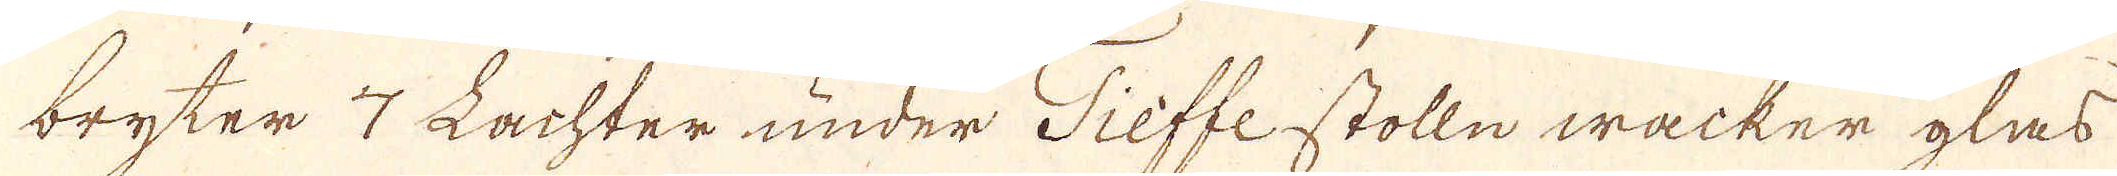bryter 7 Lachter under Tieffe stolln wacker glas
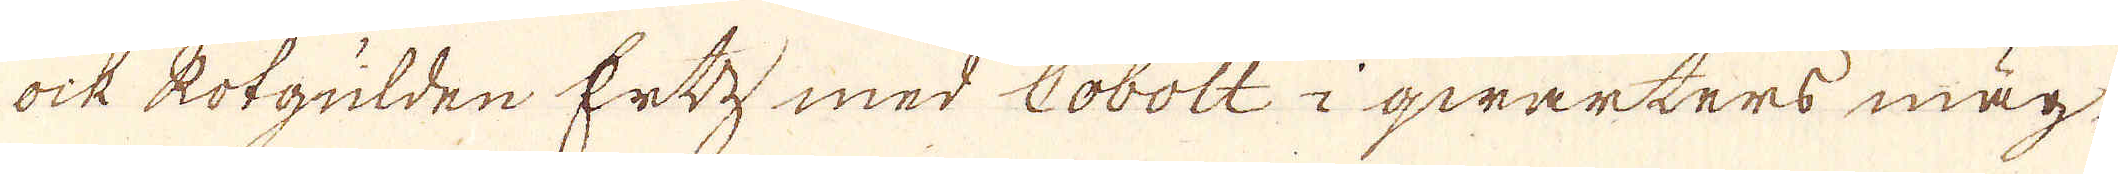ock kolgülden Ertz med Cobolt i qwarters mäg-
